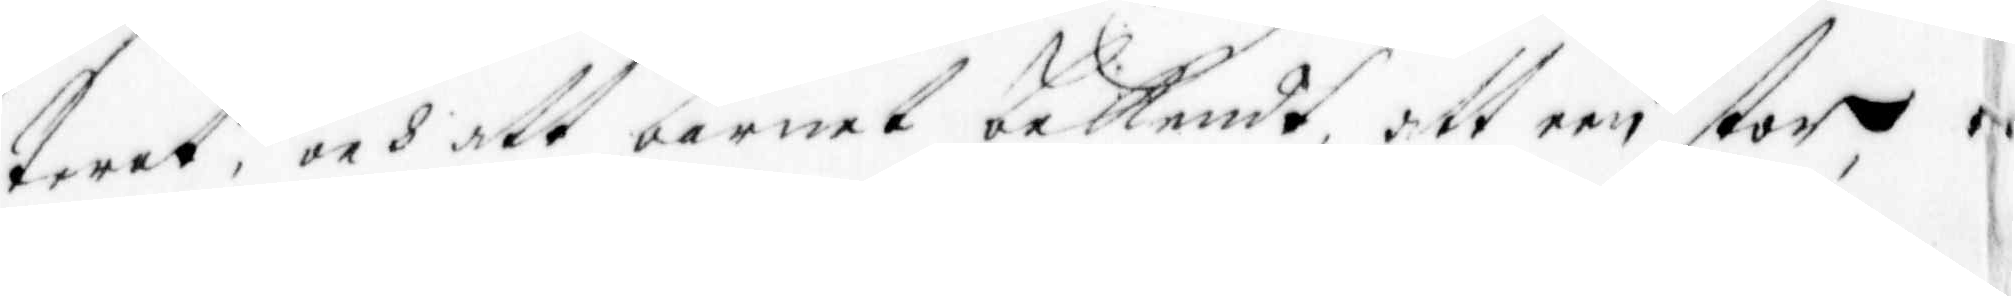terat, och att barnet bekendt, att een stor,
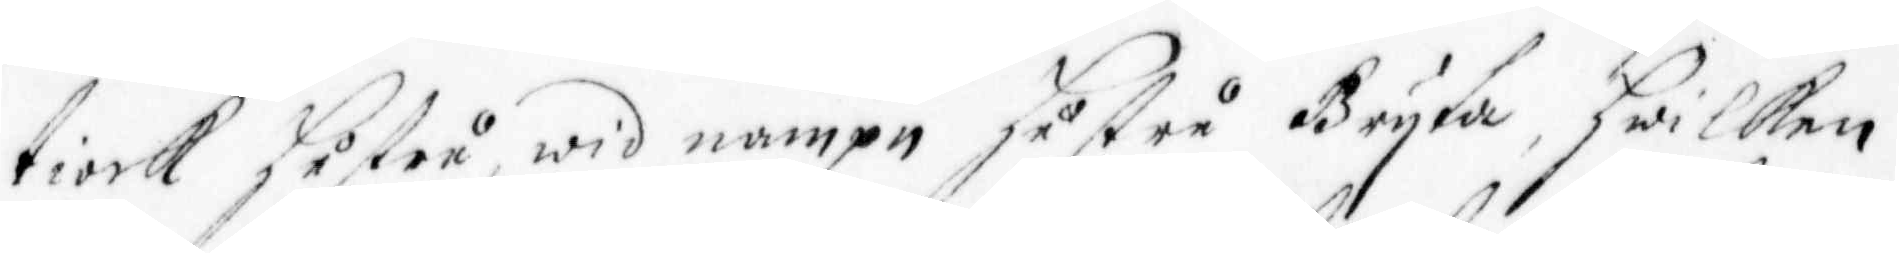tiock Hustru wid nampn Hustru Bryta, Hwilken
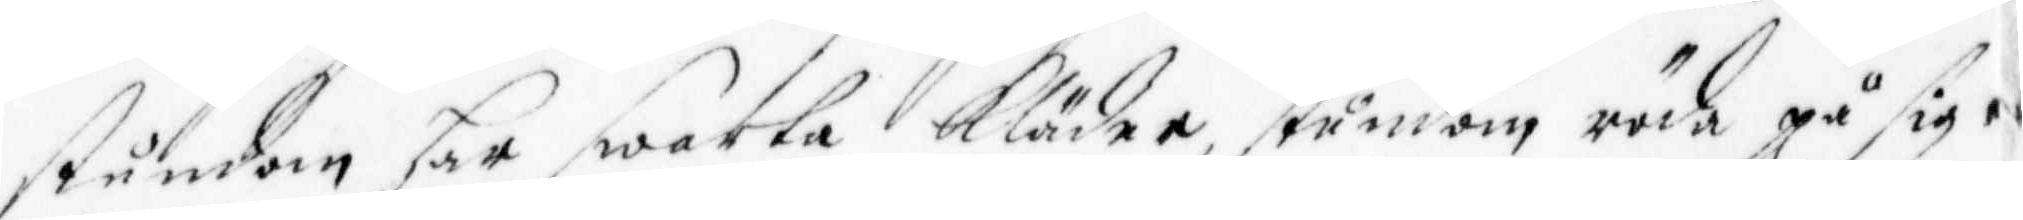stundom har swarta kläder, stundom röda på sig
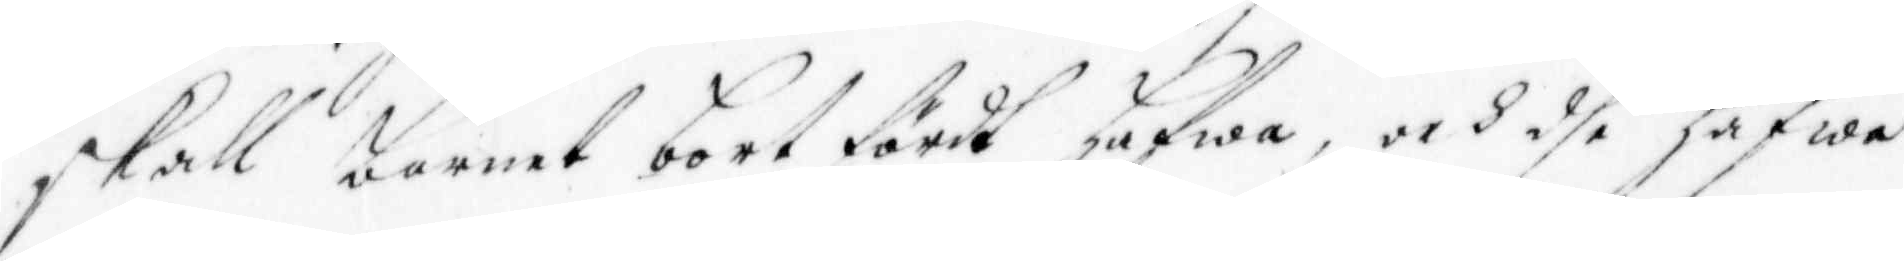skall barnet bort fördt Hafwa, och dhe hafwa
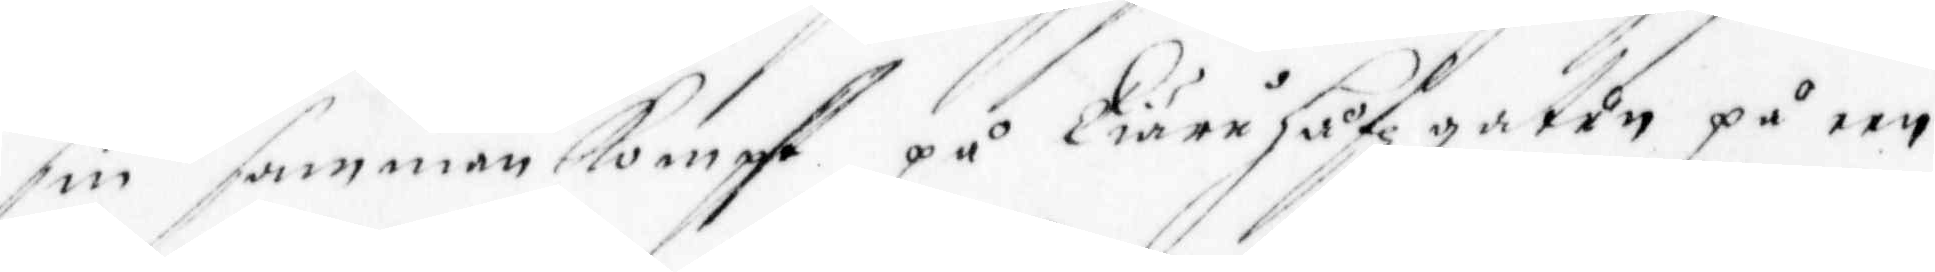sin sammankompste på Tiäruhåfz gatun på een
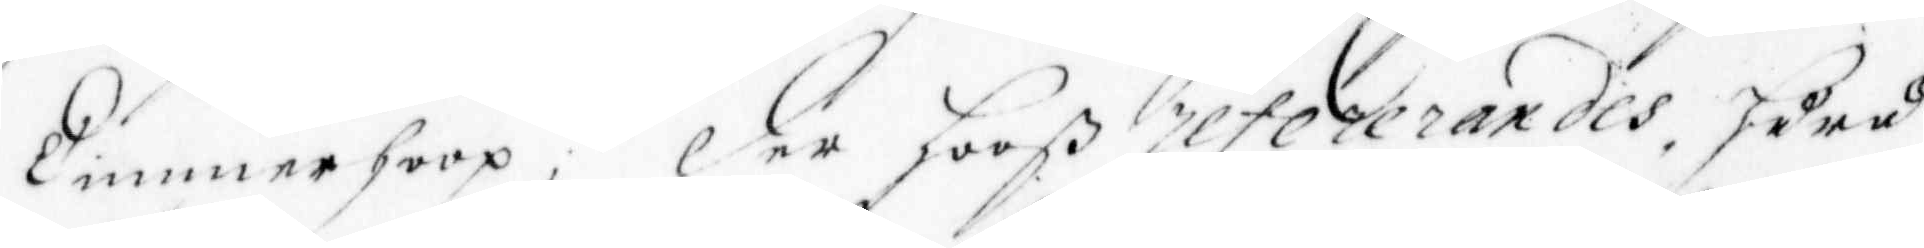Timmerhoop, Der Hooß refererandes, Huru
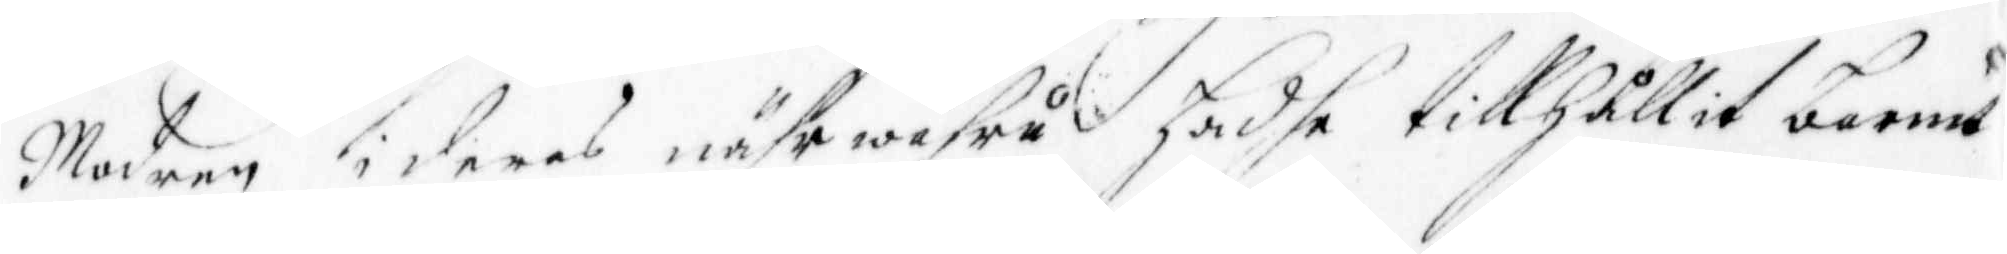Modren i deras nährwafru Hadhe tillhållit barnet
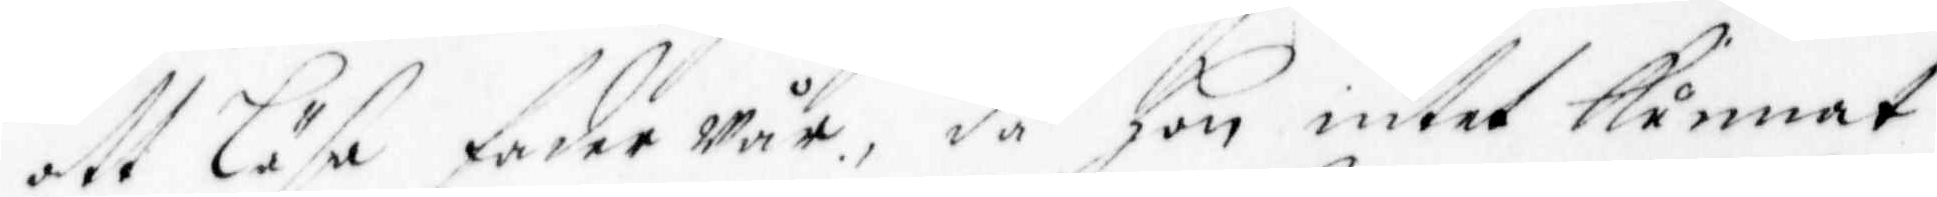att läsa fader wår, då Hon intet Kunnat
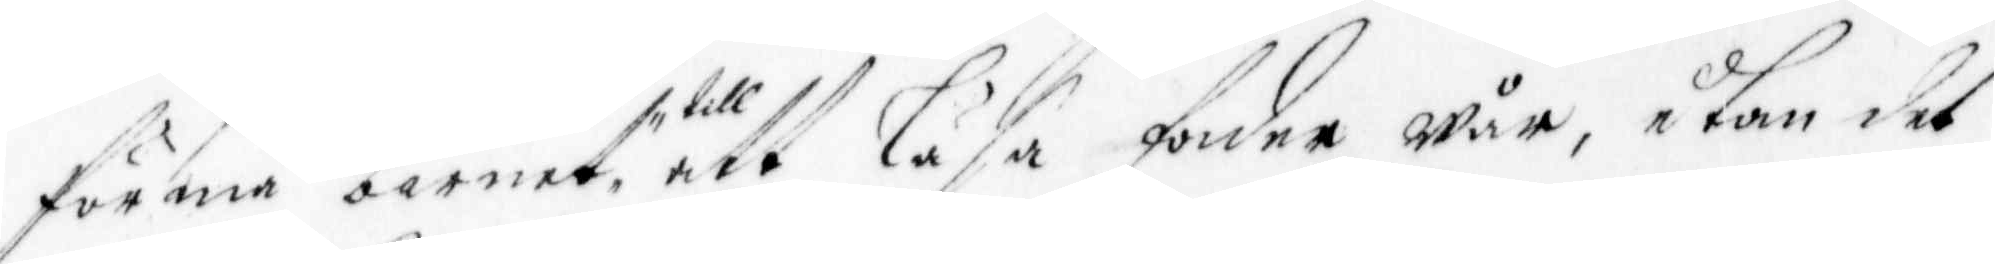förmå barnet till att Läsa fader wår, utan det
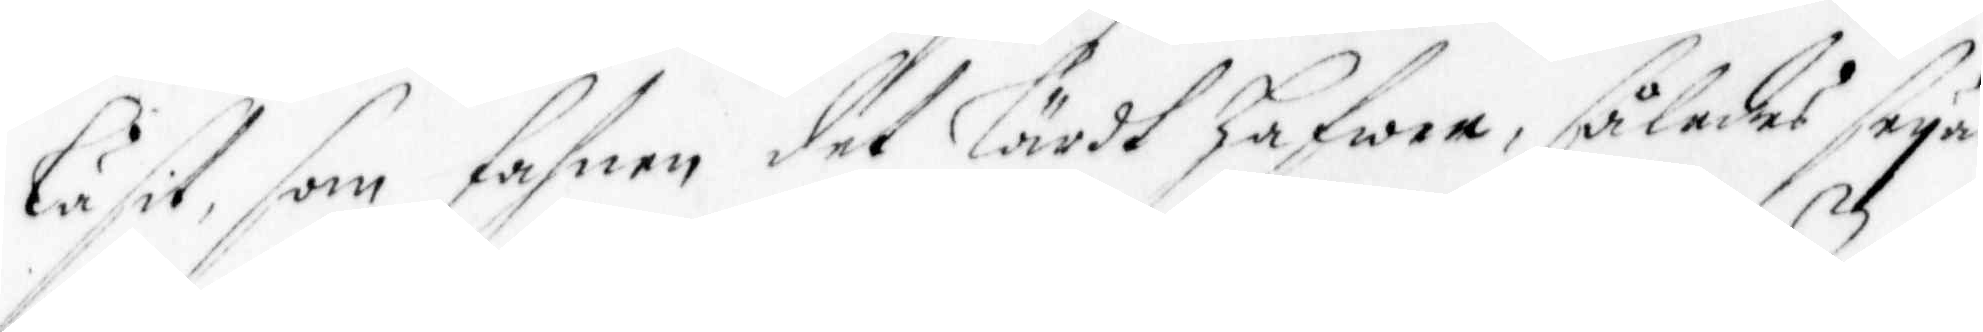läsit, som fahnen det lärdt Hafwer, således seya
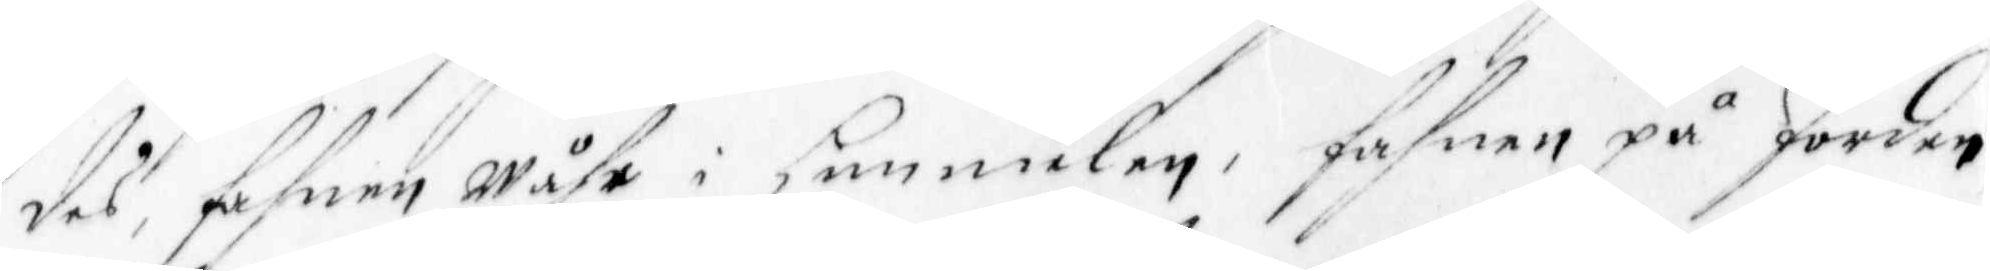sws, fahnen wåhr i Himmelen, fahnen på Jorden
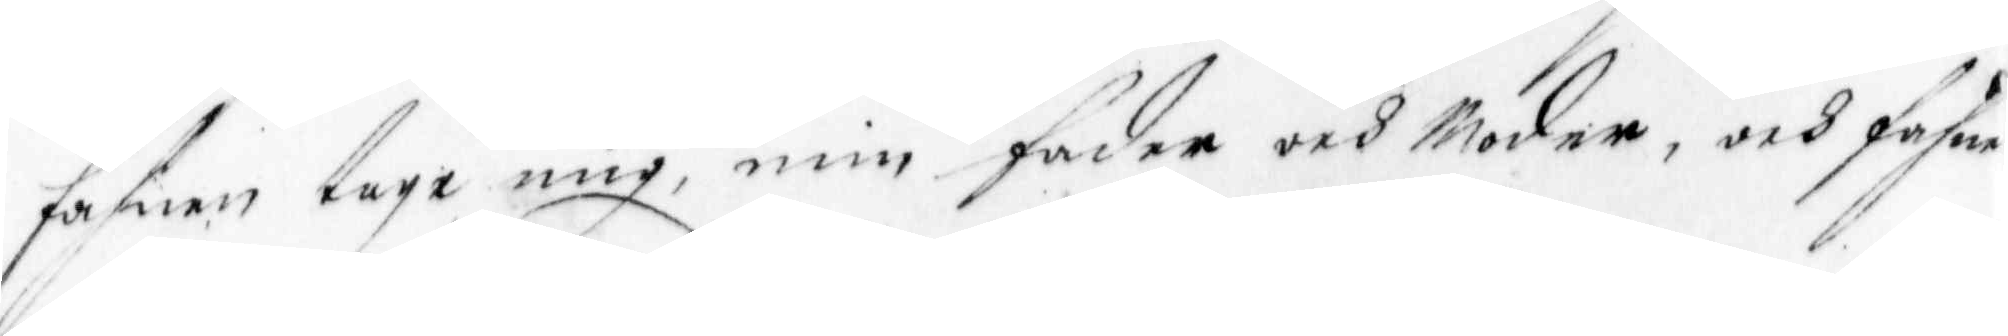fahnen tage mig, min fader och Moder, och fahnen
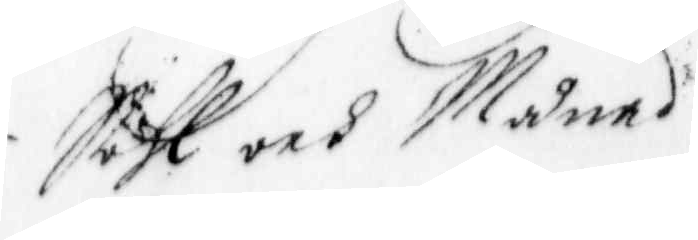i Sehl och Måned.
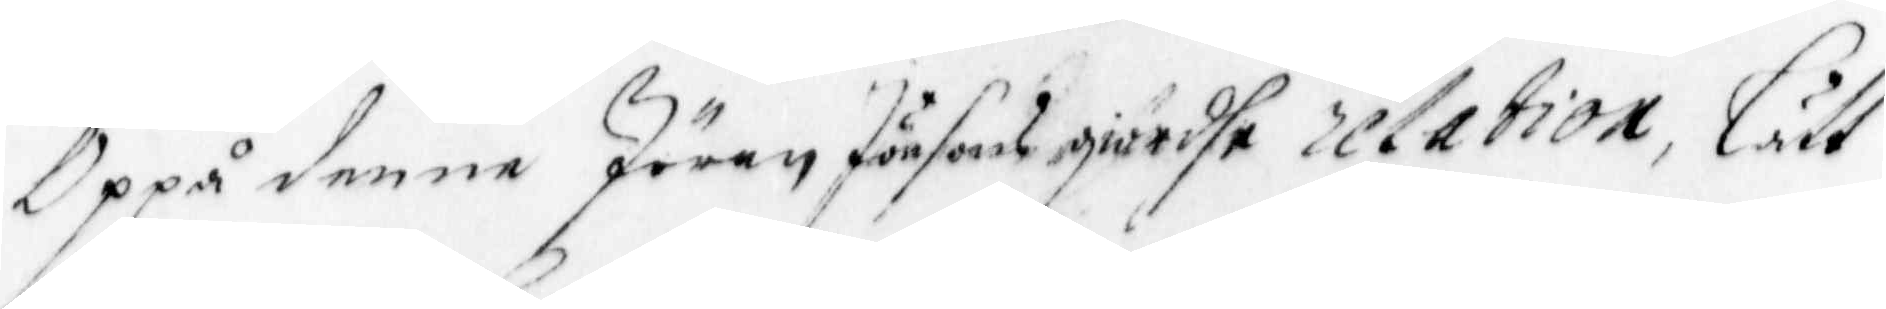Oppå denne Jöran Jönsons giodhe relation, Lätt
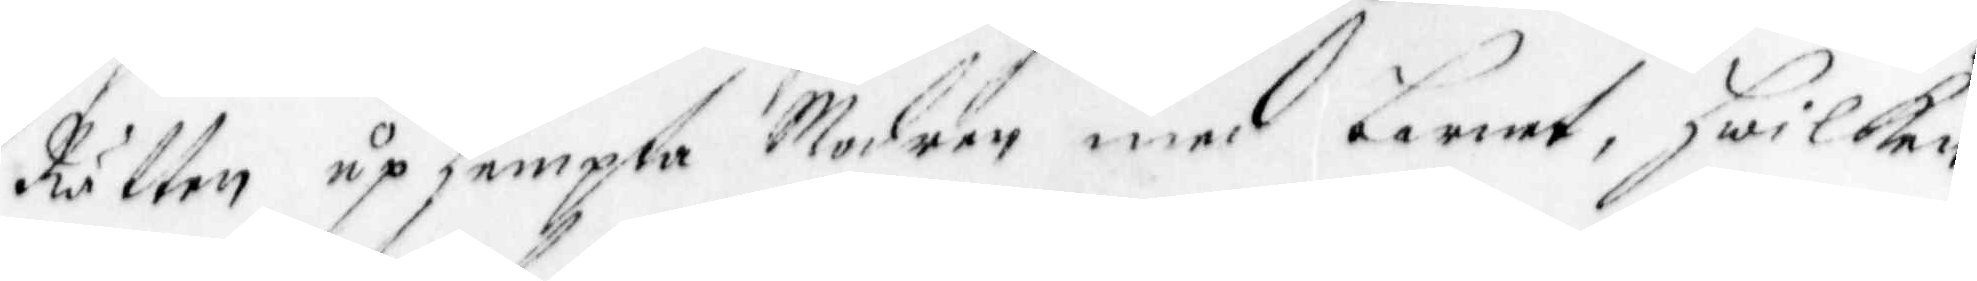Rätten uphempta Modren med barnet, Hwilken
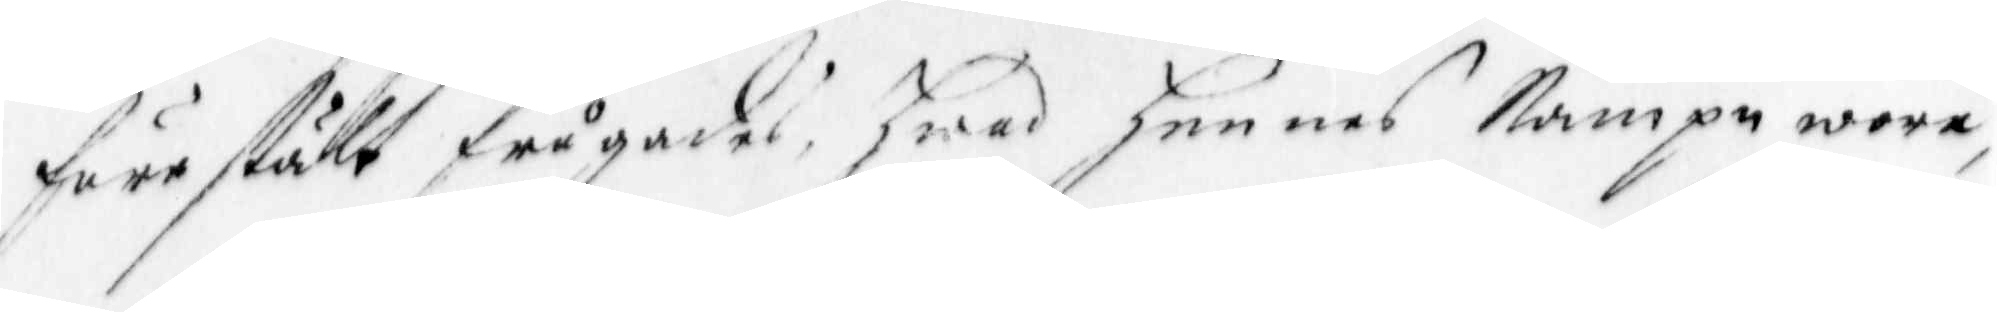förestält frågades, Hwad Hennes Nampn wore,
